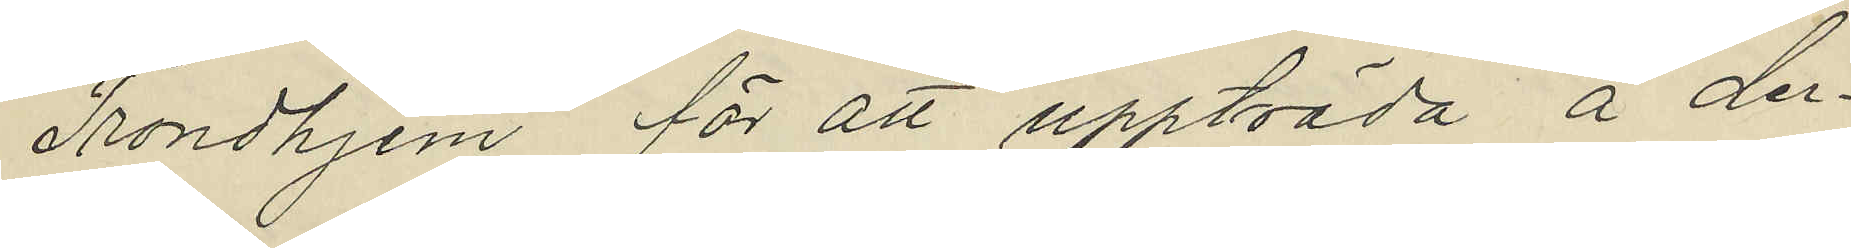Trondhjem för att uppträda å der¬
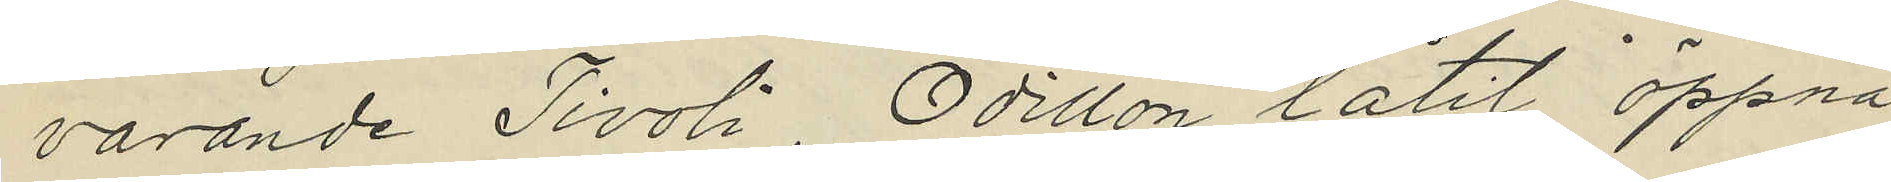varande Tivoli, Odillon låtit öppna
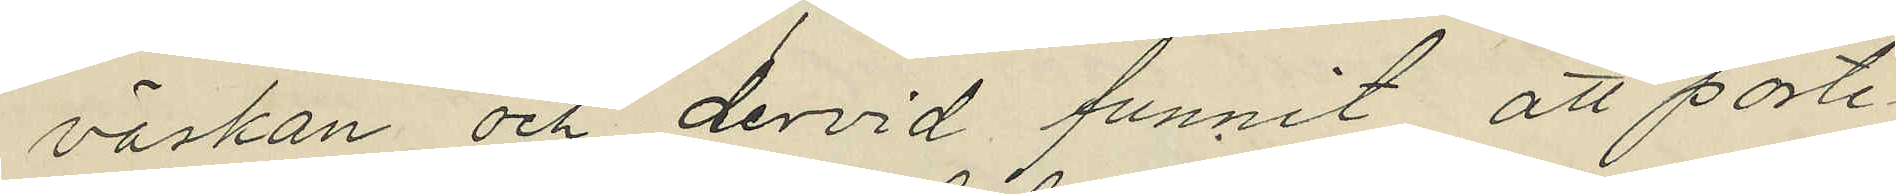väskan och dervid funnit att porte¬
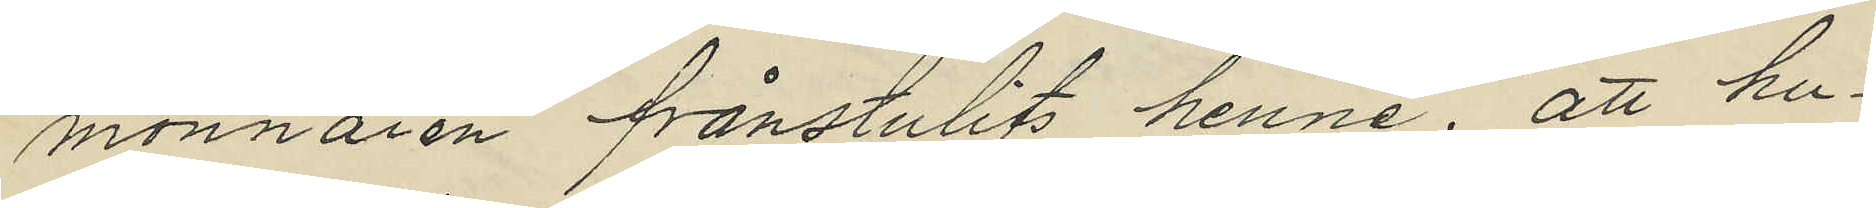monnaien frånstulits henne; att hu¬
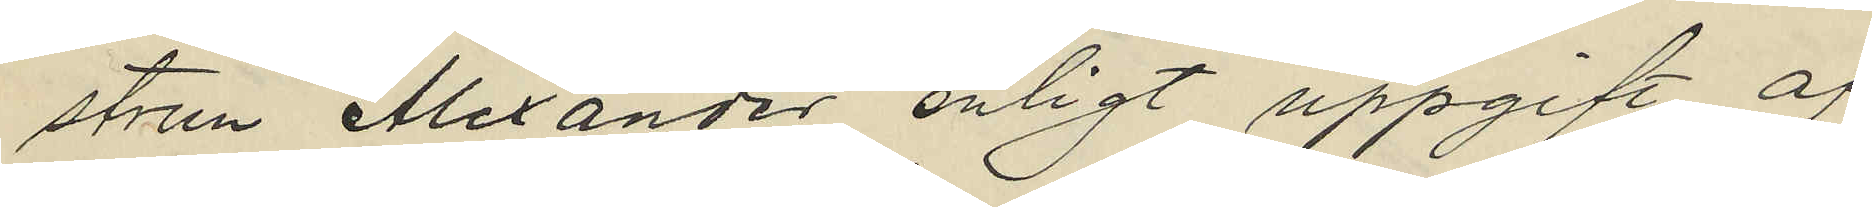strun Alexander enligt uppgift af
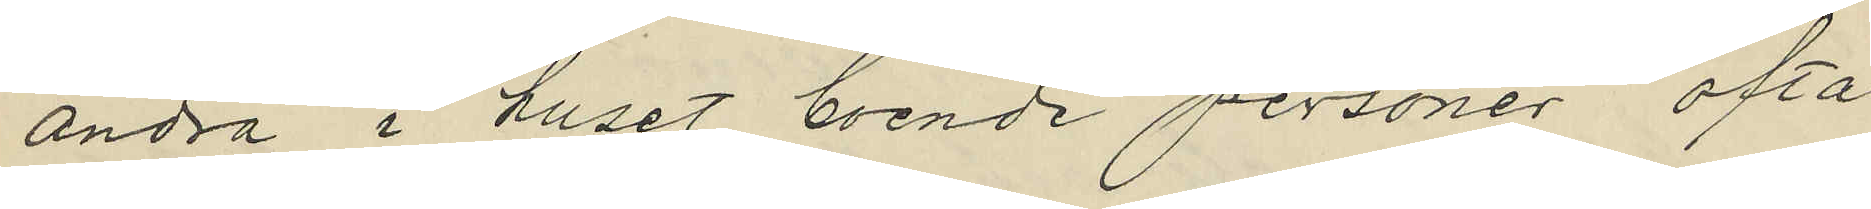andra i huset boende personer ofta
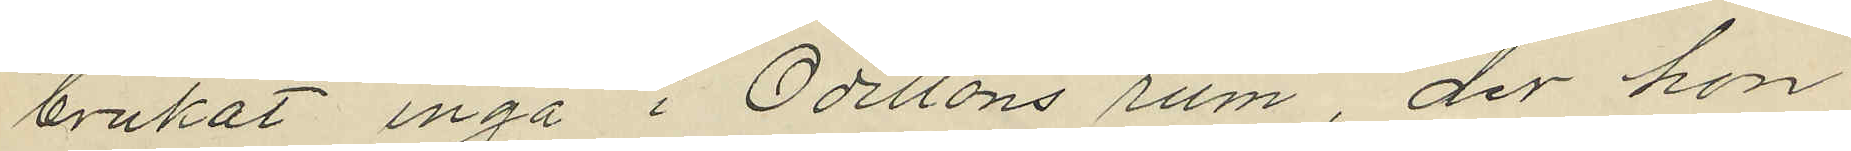brukat ingå i Odillons rum der hon
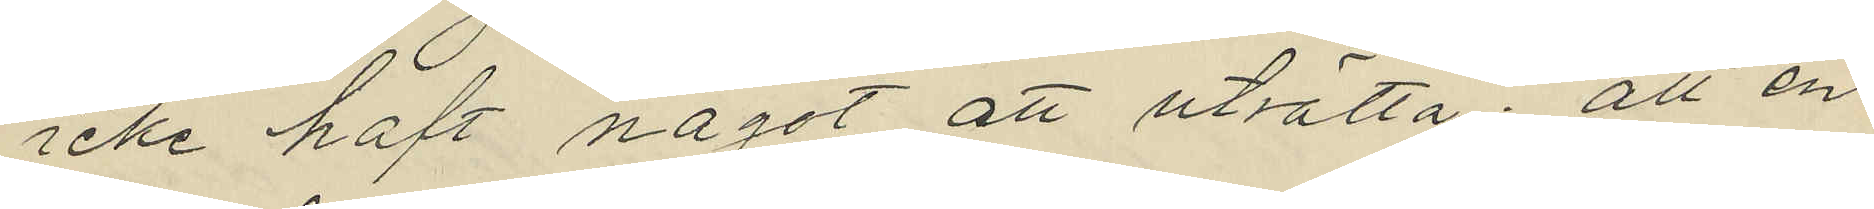icke haft något att uträtta; att en
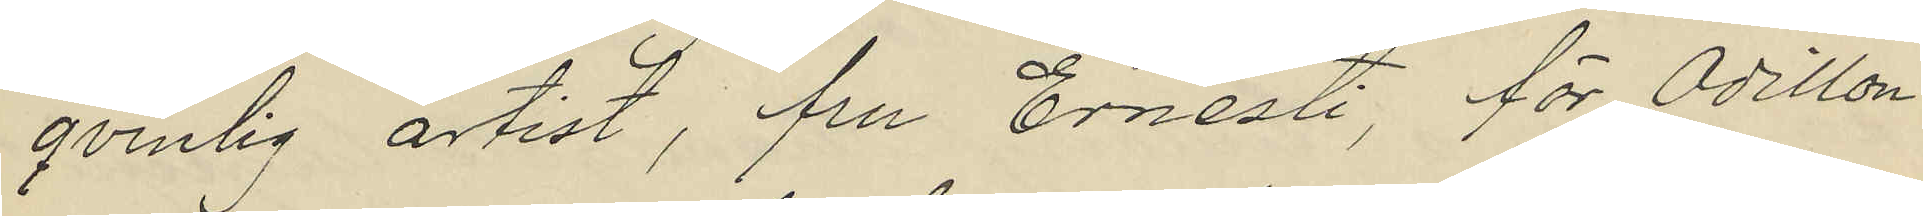qvinlig artist, fru Ernesti, för Odillon
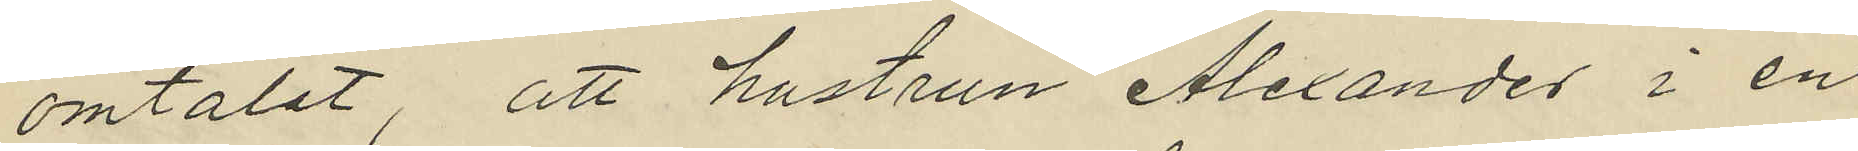omtalat, att hustrun Alexander i en
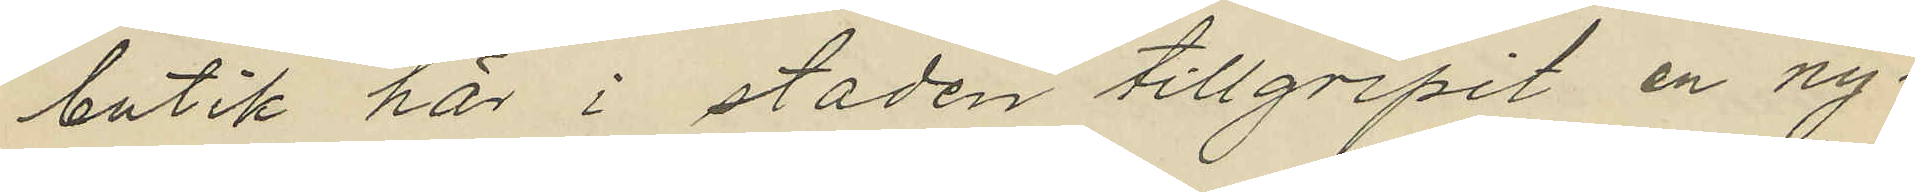butik här i staden tillgripit en ny¬
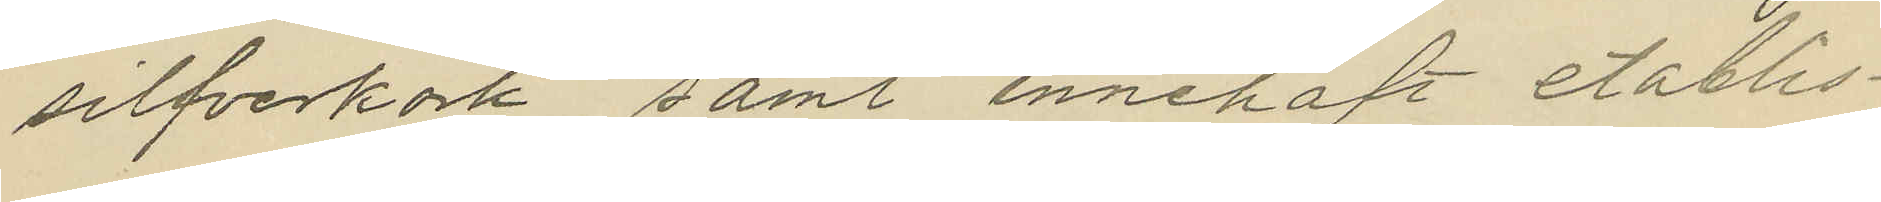silfverkork samt innehaft etablis¬
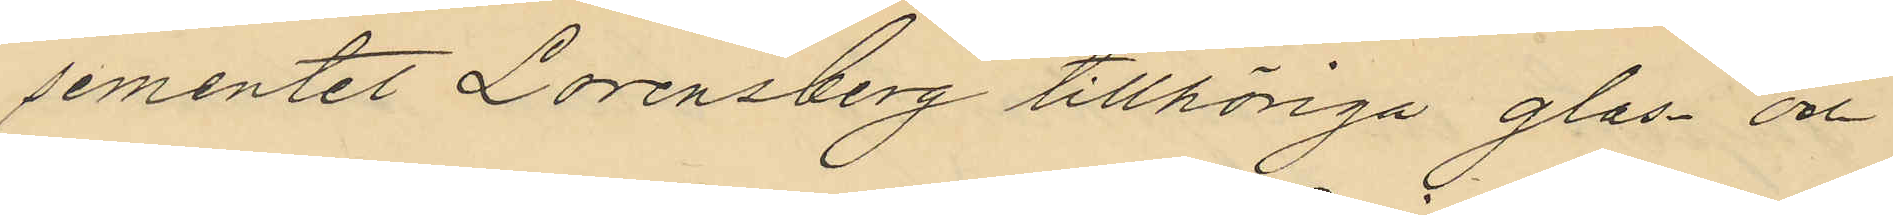sementet Lorensberg tillhöriga glas och
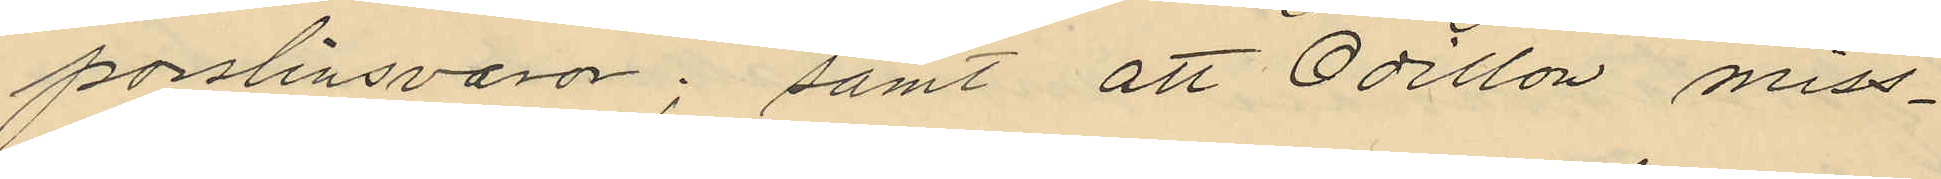porslinsvaror; samt att Odillon miss¬
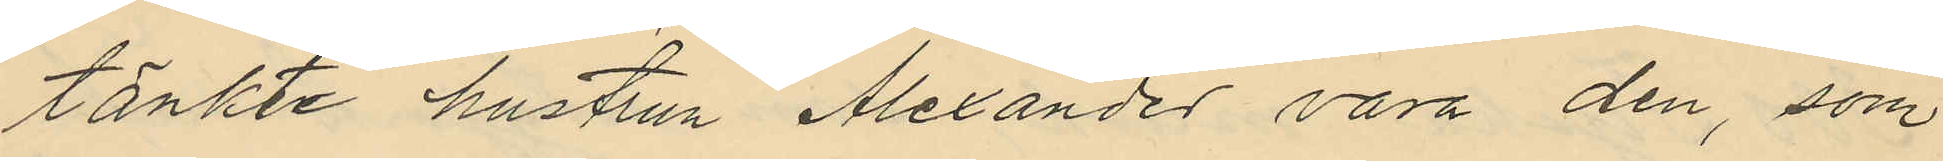tänkte hustrun Alexander vara den, som
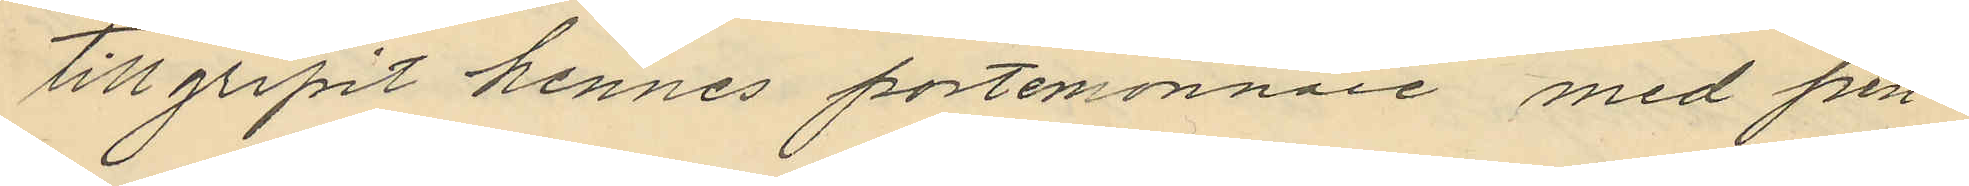tillgripit hennes portemonnaie med pen¬
